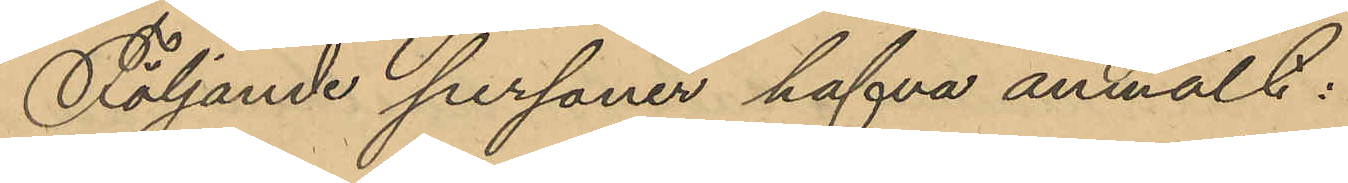Följande personer hafva anmält:
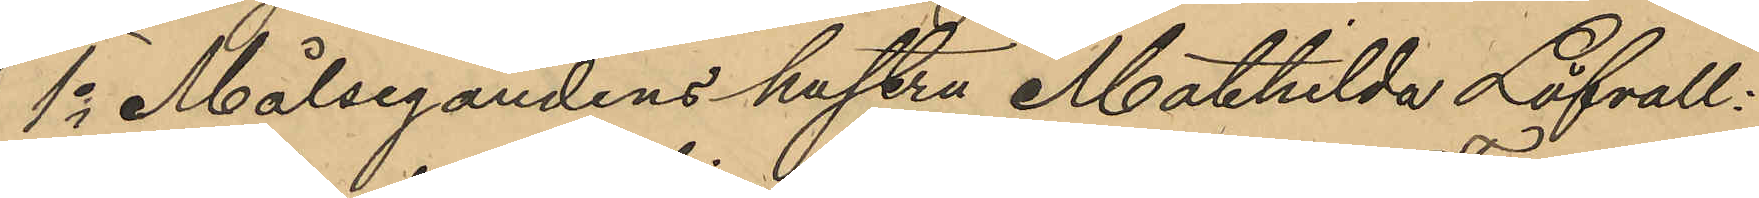1o Målsegandens hustru Mathilda Löfvall:
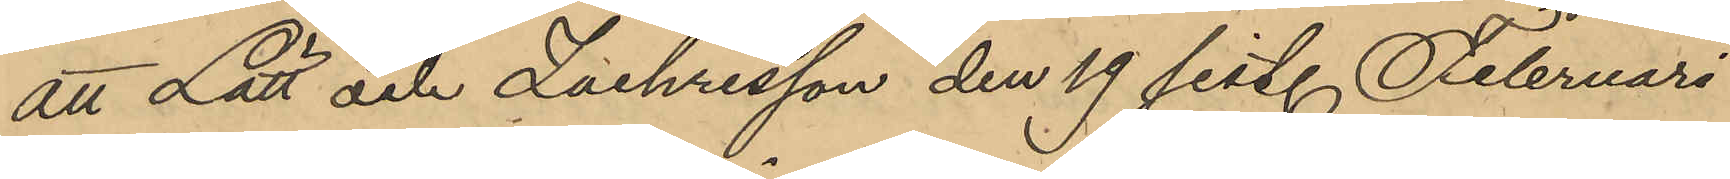att Lätt och Zachrisson den 19 sist. Februari
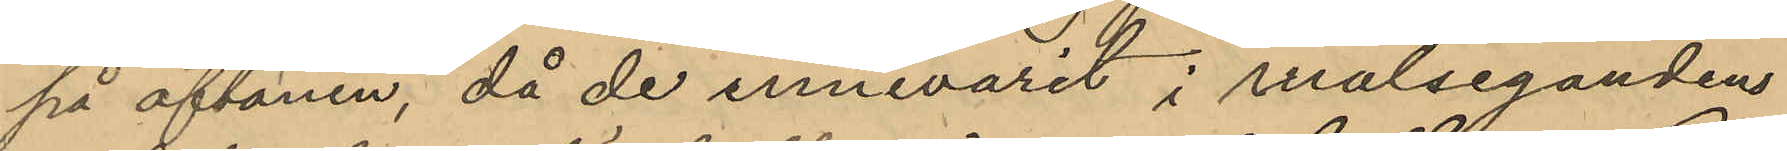på aftonen, då de innevarit i målsegandens
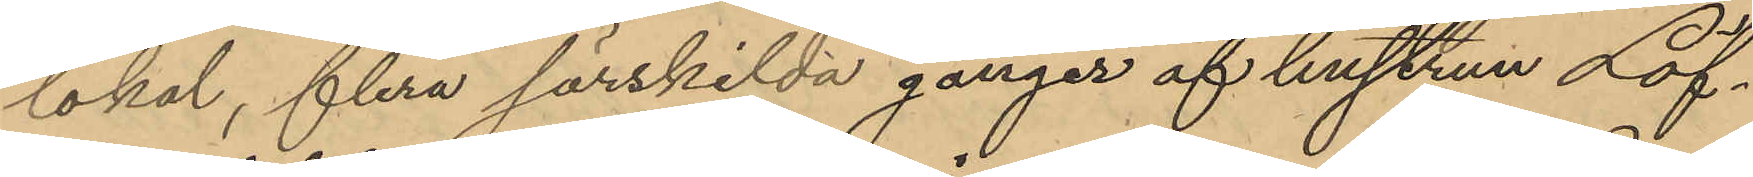lokal, flera särskilda gånger af hustrun Löf¬
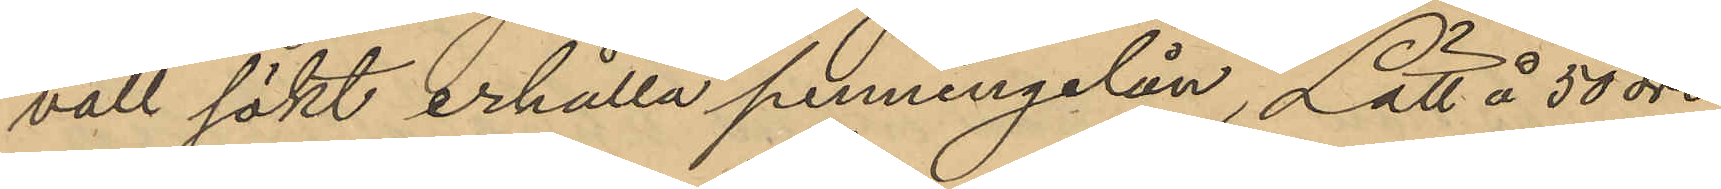vall sökt erhålla penningelån, Lätt å 50 öre
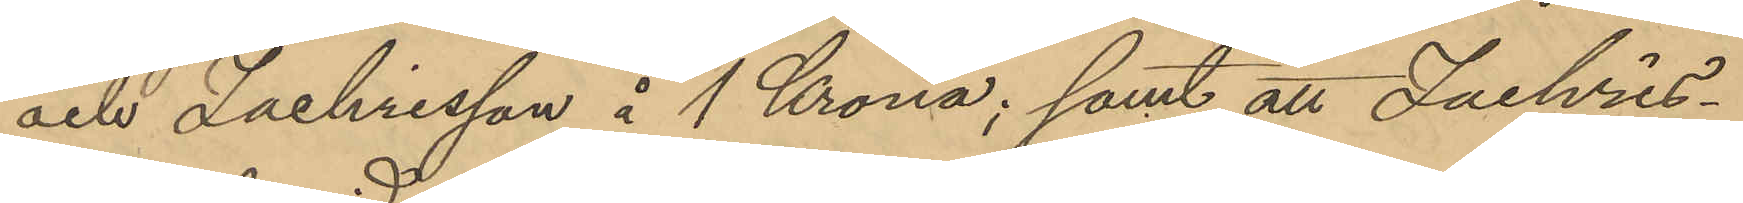och Zachrisson å 1 Krona; samt att Zachris¬
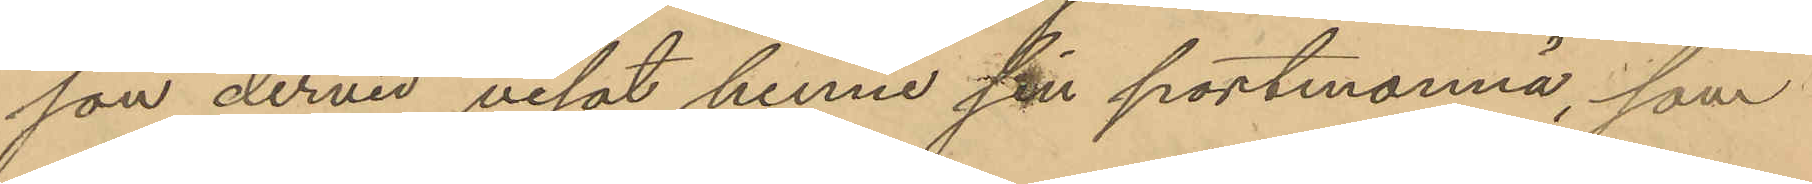son dervid visat henne sin portmonnä, som
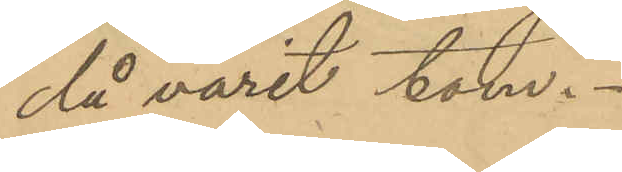då varit tom.
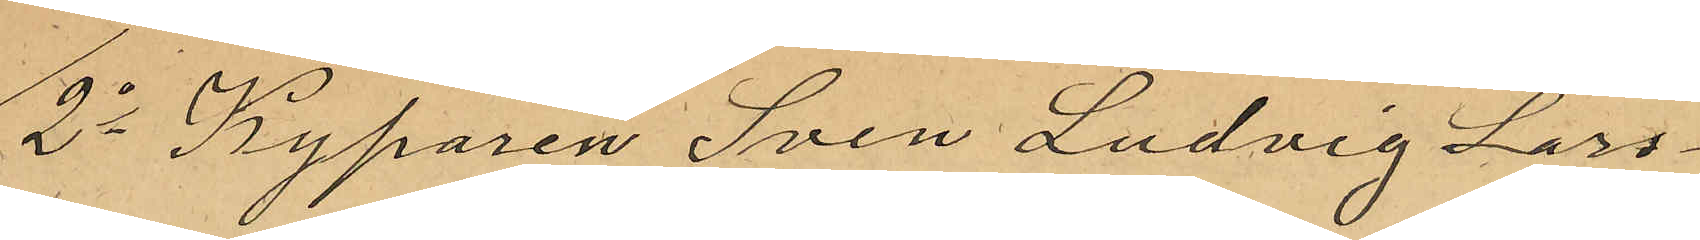2o Kyparen Sven Ludvig Lars¬
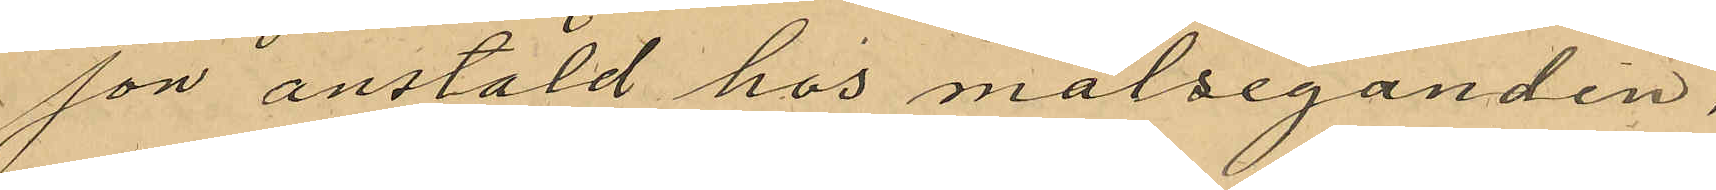son anstäld hos målseganden,
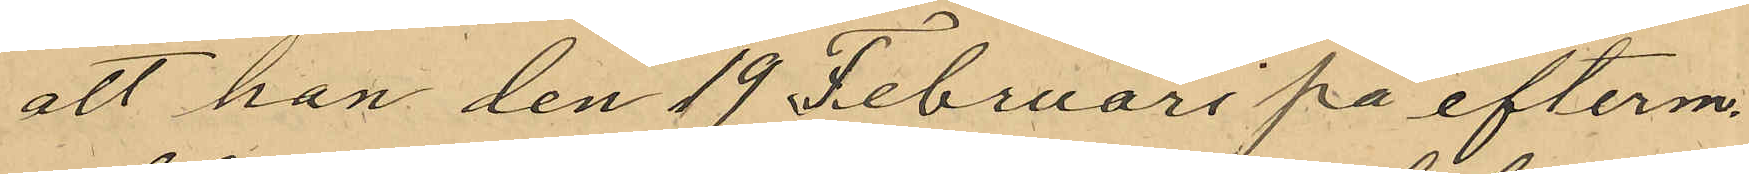att han den 19 Februari på efterm.
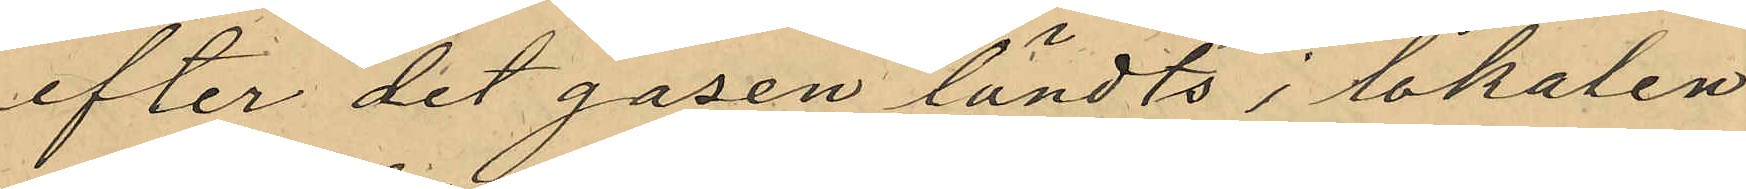efter det gasen tändts i lokalen
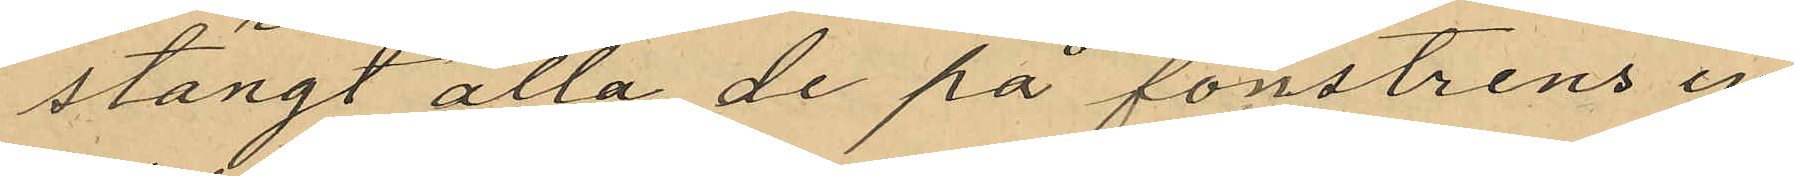stängt alla de på fönstrens in¬
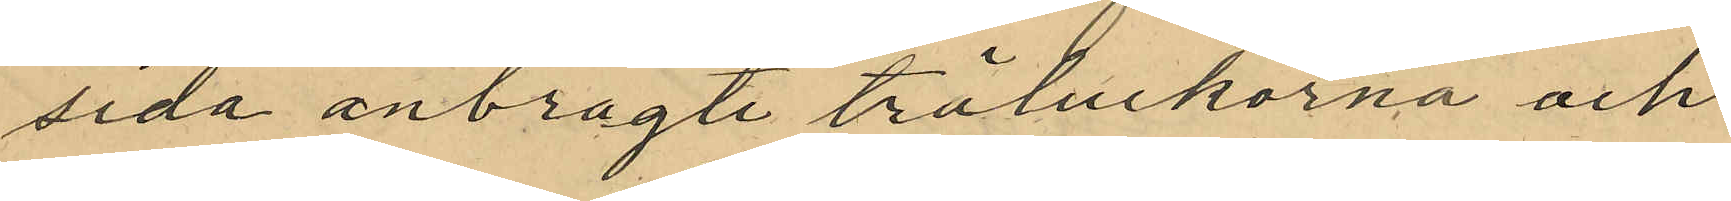sida anbragte träluckorna och
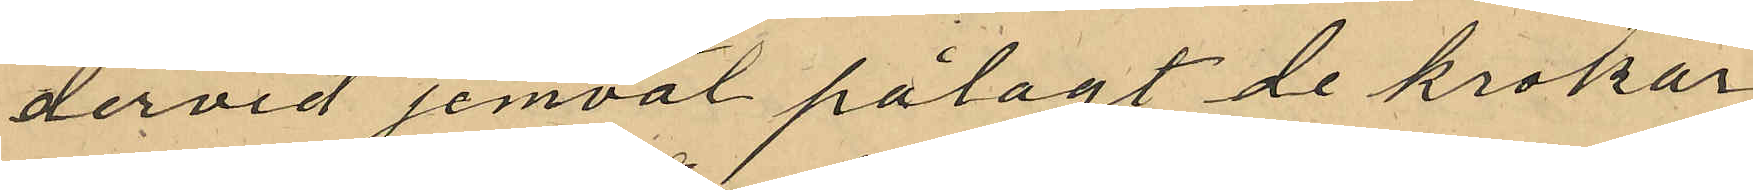dervid jemväl pålagt de krokar
